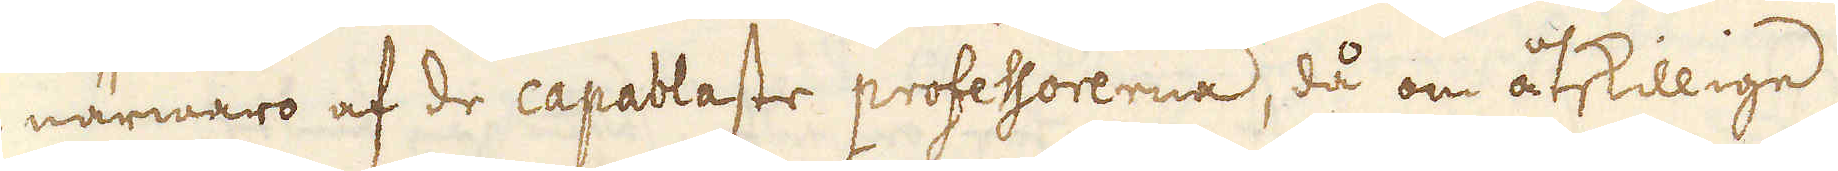i närwaro af de capablaste professorerna, då om åtskillige
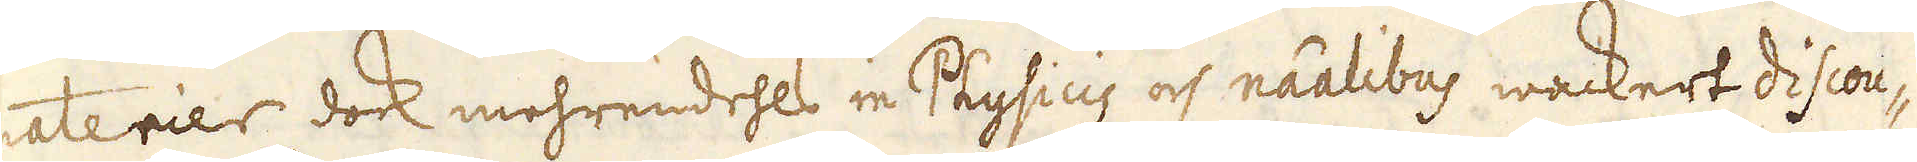materier dock mehrendehls in Physicis och räalibus wackert discou-
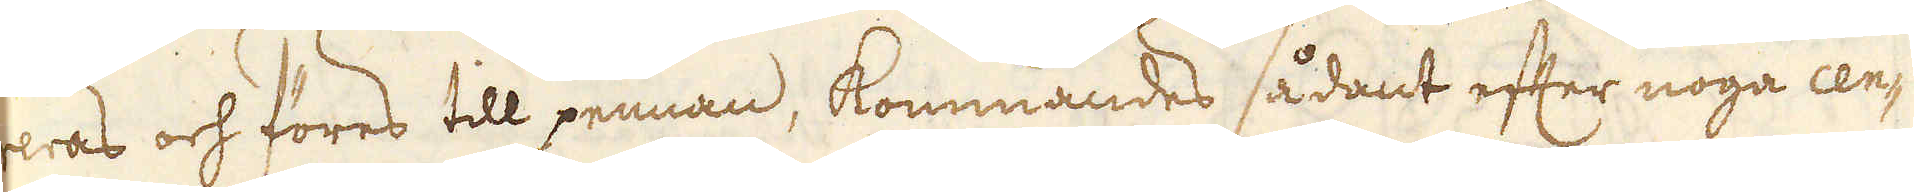reras och föres till pennan, kommandes sådant efter noga cen-
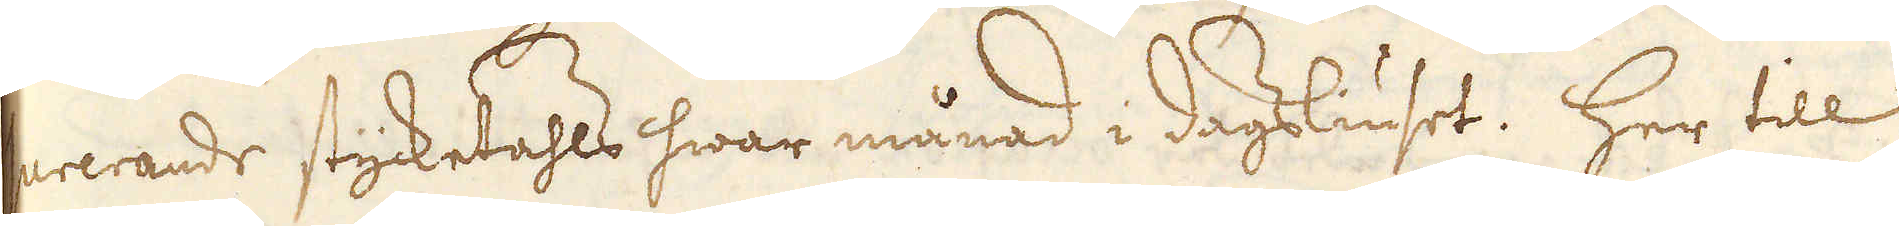surerande stycketahls hwar månad i dagsliuset. Her till
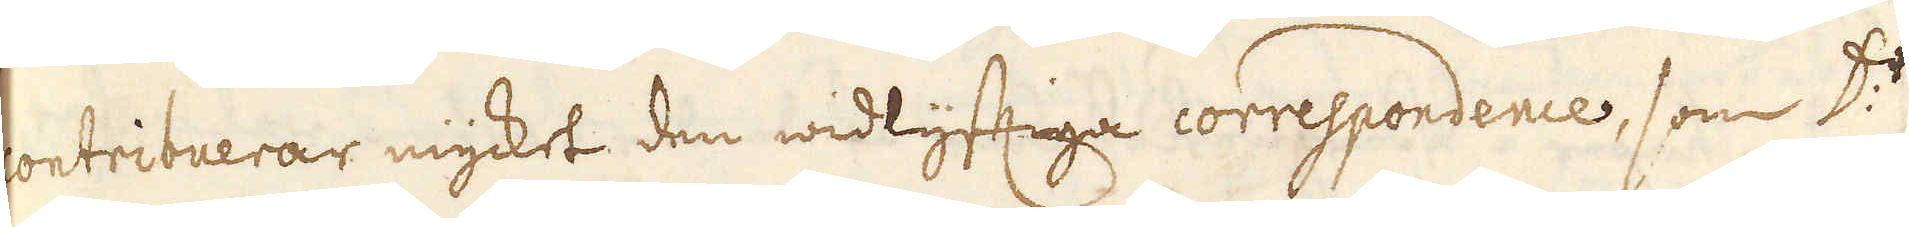contribuerar mycket den widlyfftiga correspondence, som D:r
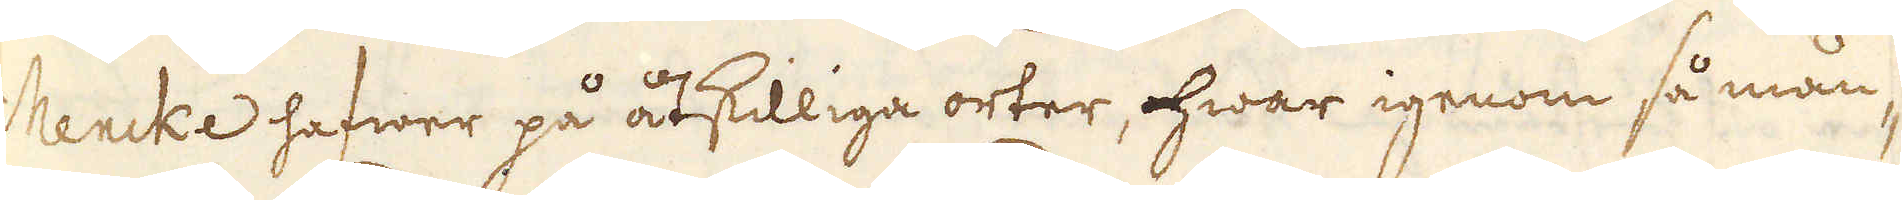Mencke hafwer på åtskilliga orter, hwar igenom så mån-
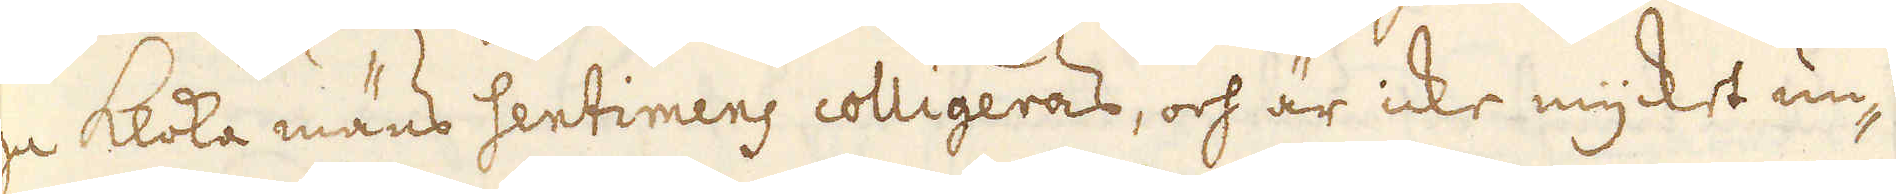ga kloka mäns sentimens colligeras, och är icke mycket un-
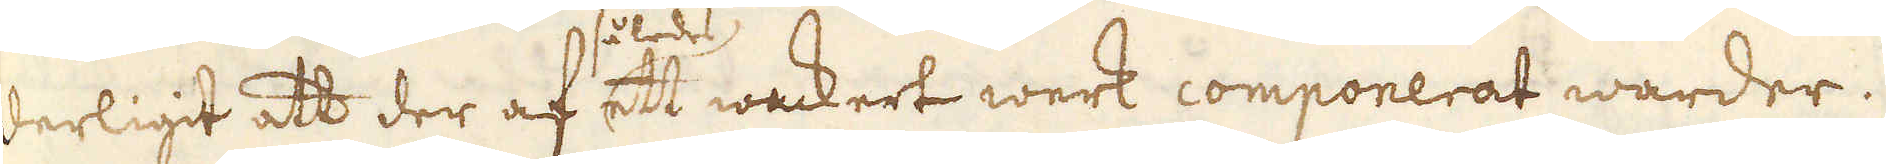derligit att der af således ett wackert werk componerat warder.
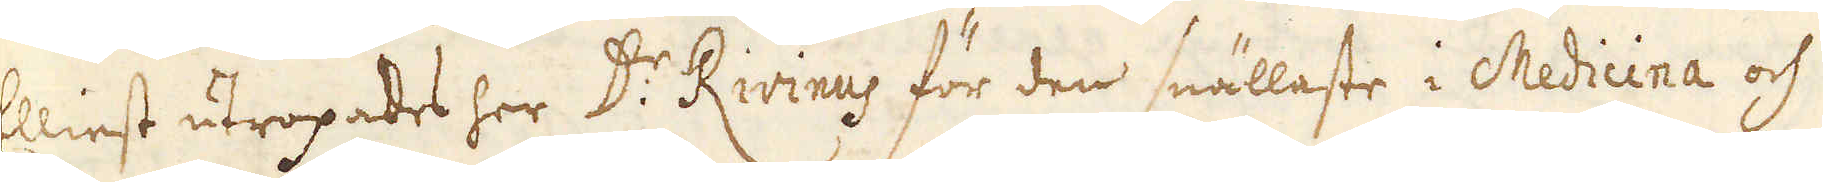Elliest utropades her D:r Rivinus för den snällaste i Medicina och
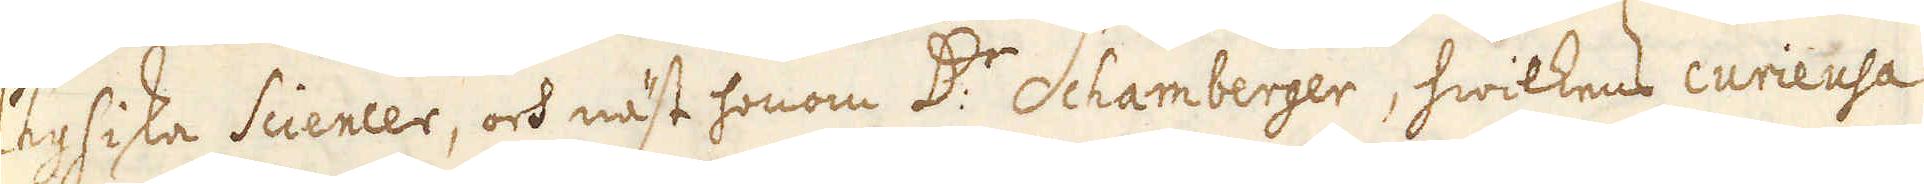Physiska Sciencer, och näst honom D:r Schamberger, hwilkens curieusa
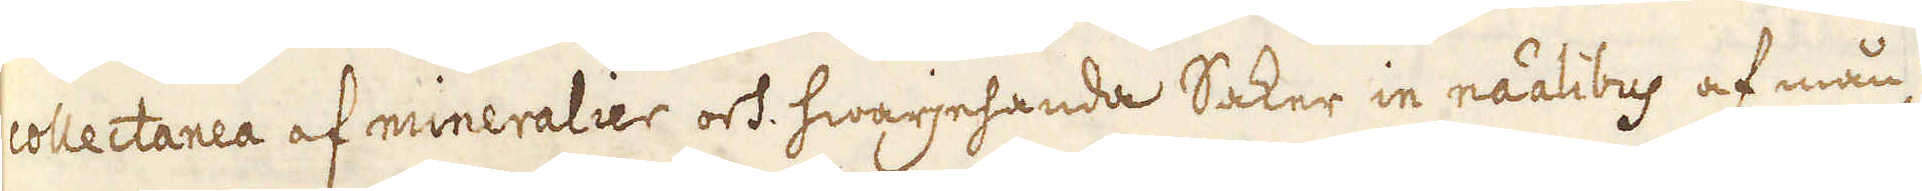collectanea af mineralier och hwarjehanda Saker in räalibus af mån-
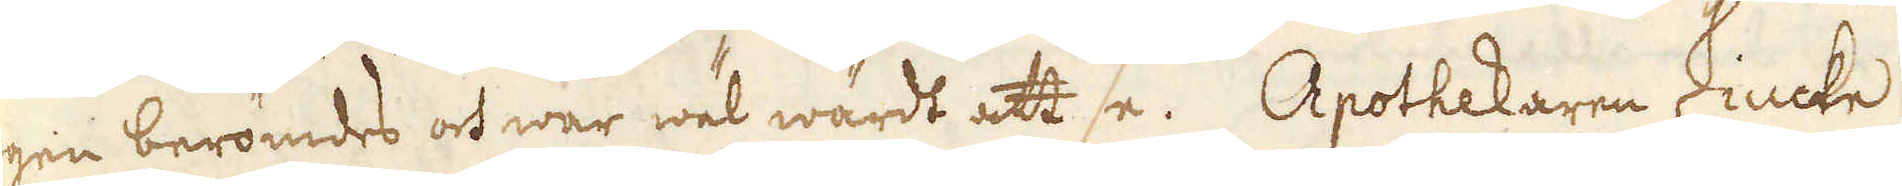gen berömdes och war wäl wardt att se. Apothekaren Zincke
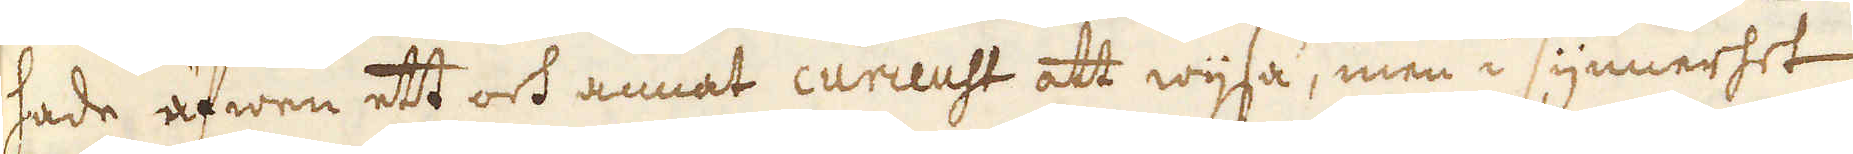hade äfwen ett och annat curieust att wijsa, men i synnerhet
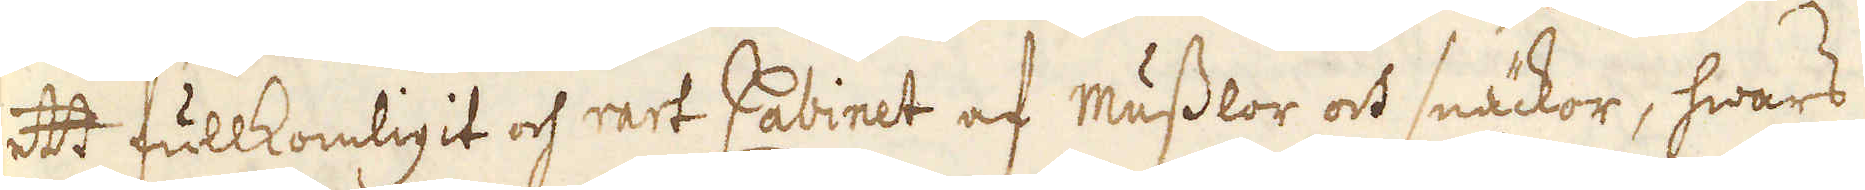ett fullkomligit och rart Cabinet af musslor och snäckor, hwars
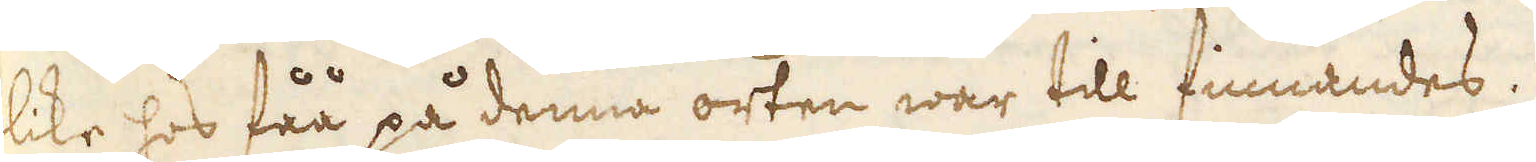like hos fåå på denna orten war till finnandes.
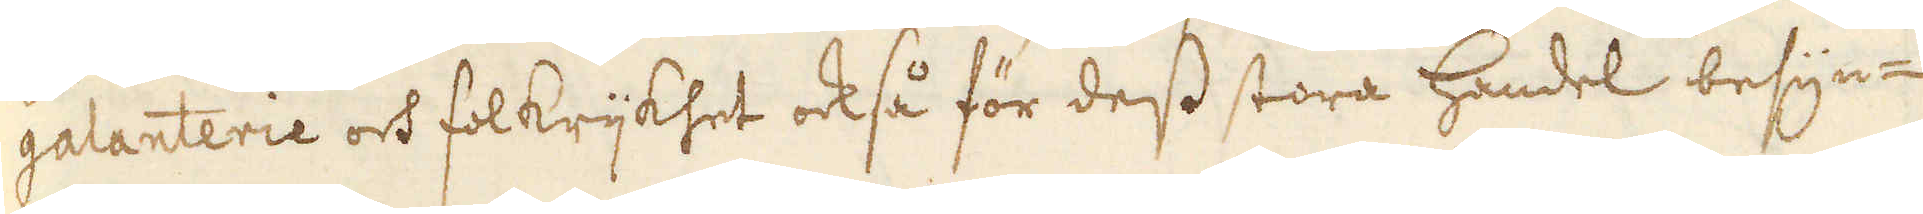galanterie och folkrijkhet också för dess stora handel besyn-
